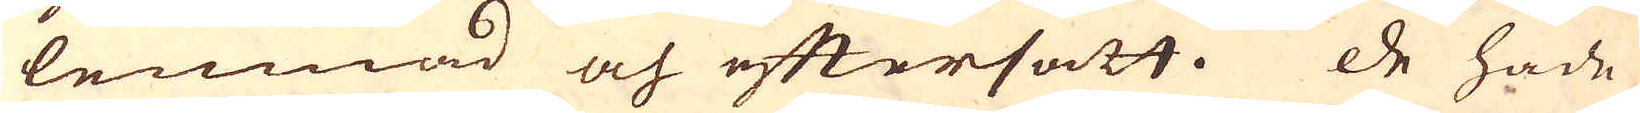lemnad och eftersatt. De hade
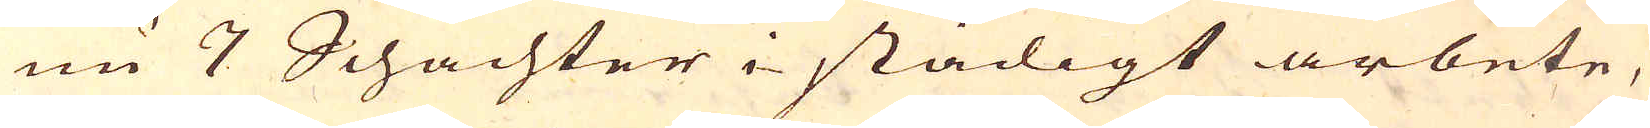nu 7 Schachter i stadigt arbete,
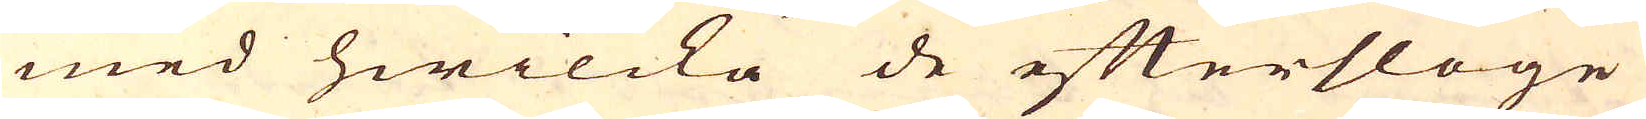med hwilcka de eftersloge
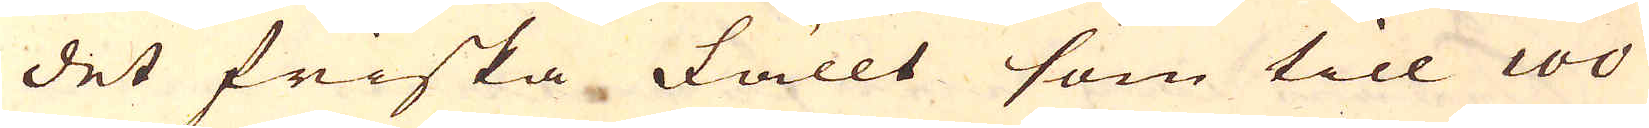det friska fällt som till 100
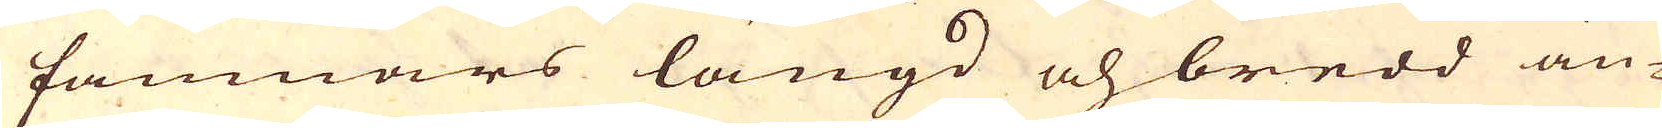famnars längd och bredd än-
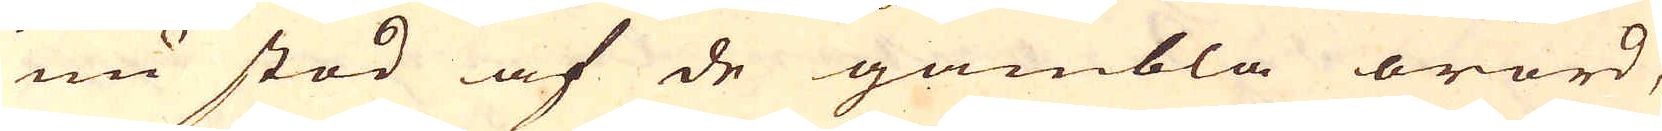nu stod af de gambla orörd,
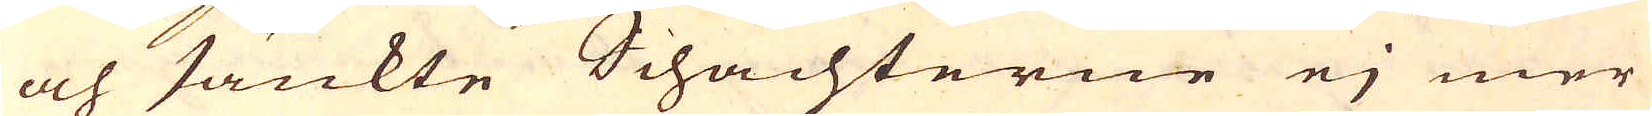och sänkte Schachterne ej mer
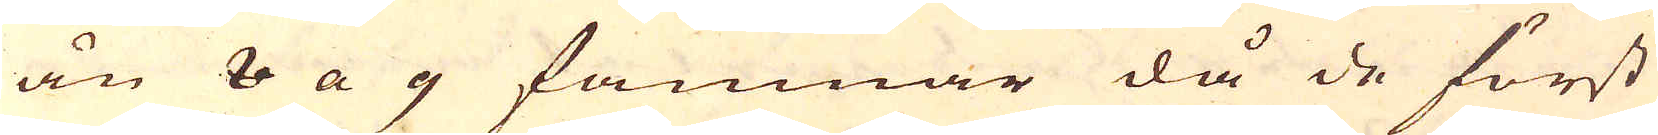än 8 a 9 famnar då de först
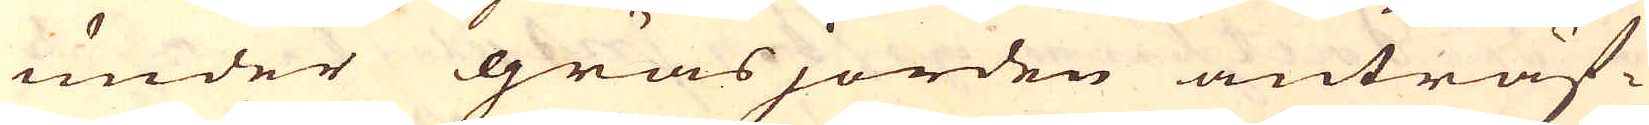under gräsjorden anträf-
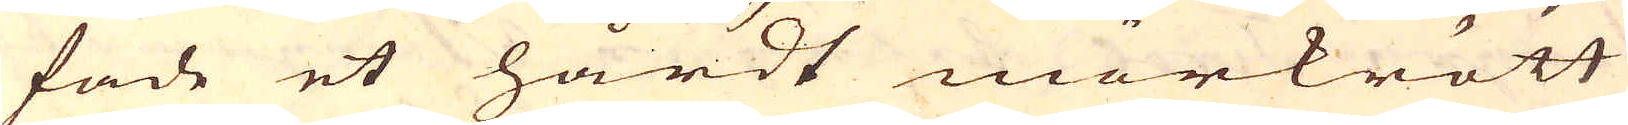fade et hårdt mörkrött
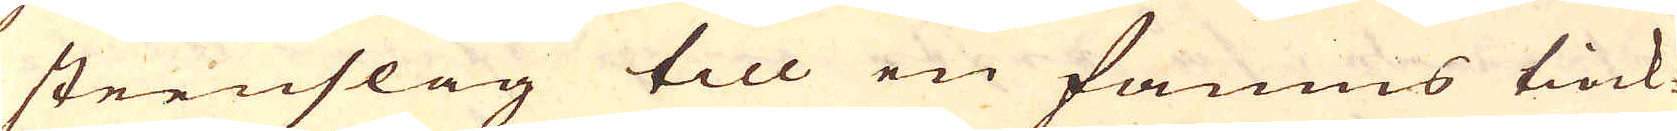steenslag till en famns tiock-
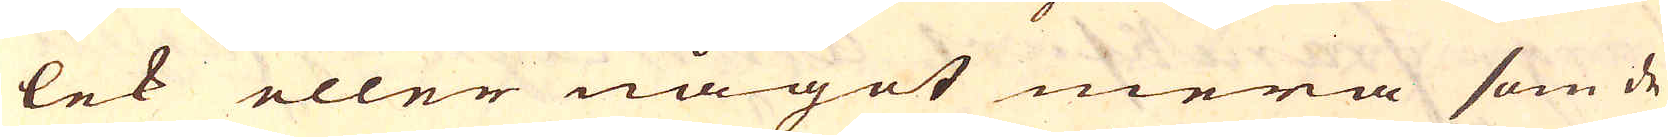lek eller något mera som de
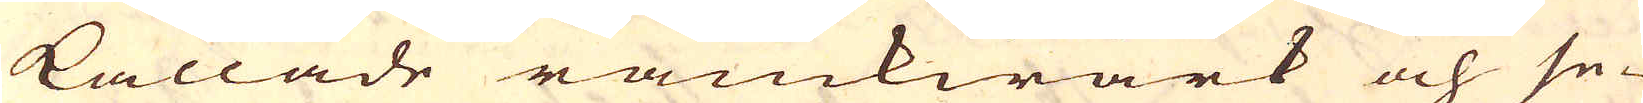kallade ramkwärk och se-
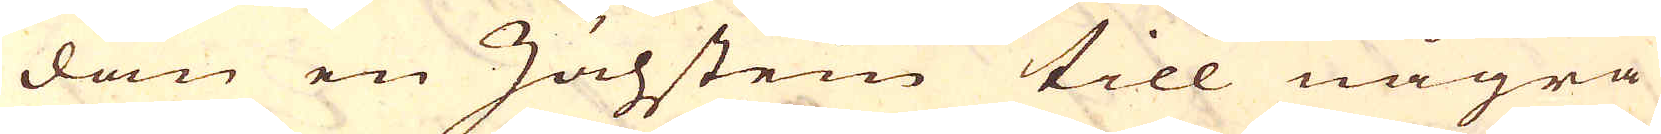dan en Zächstein till några
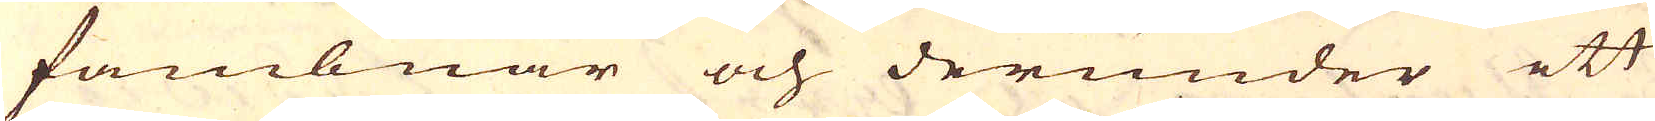fambnar och derunder ett
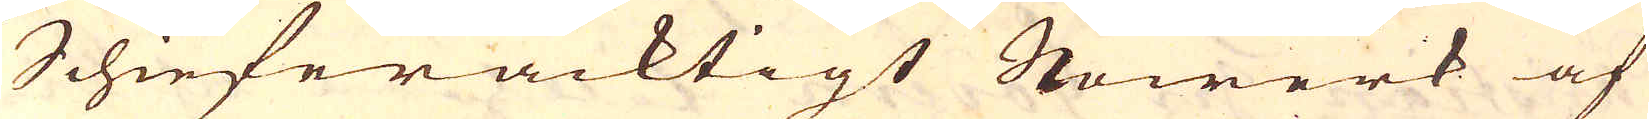Schieferacktigt Stowerk af
